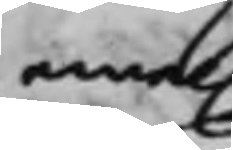emel.
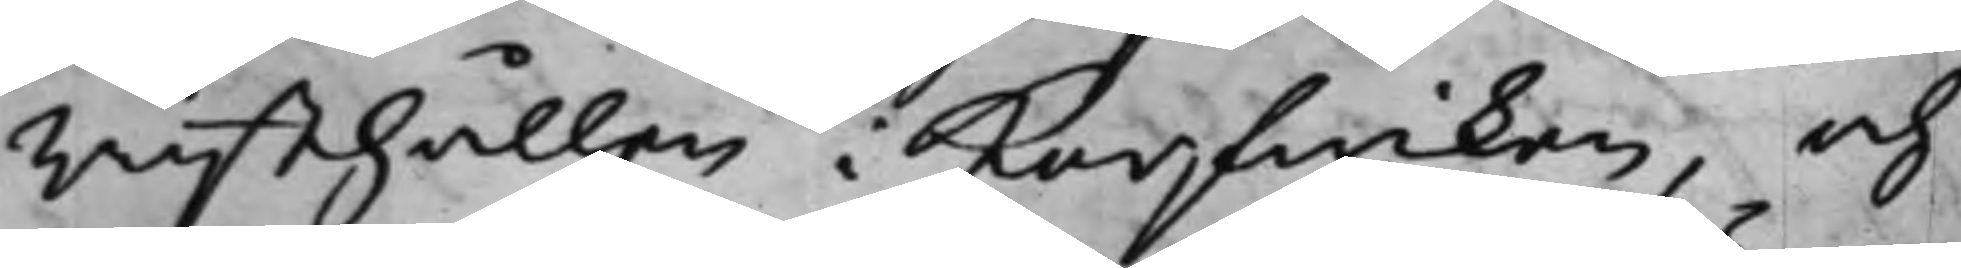Rusthållen Korfwiken, och
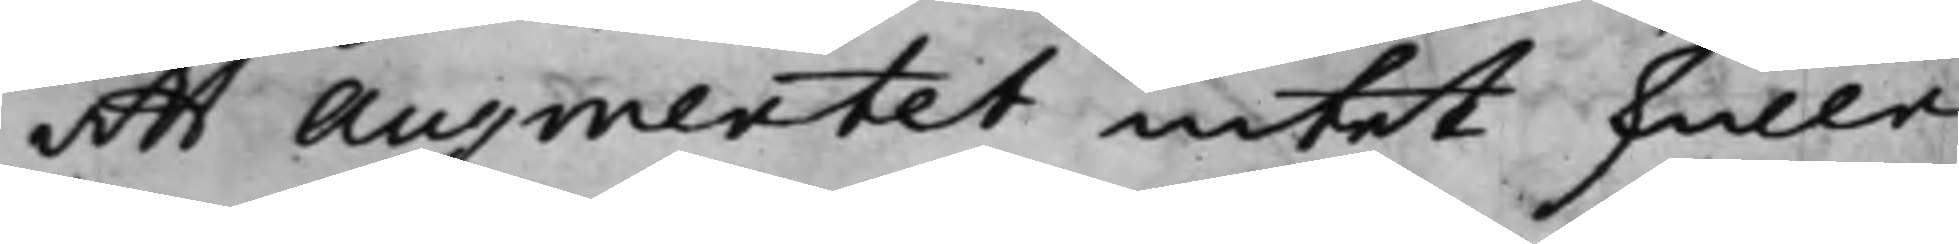att Augmentet intet skulle
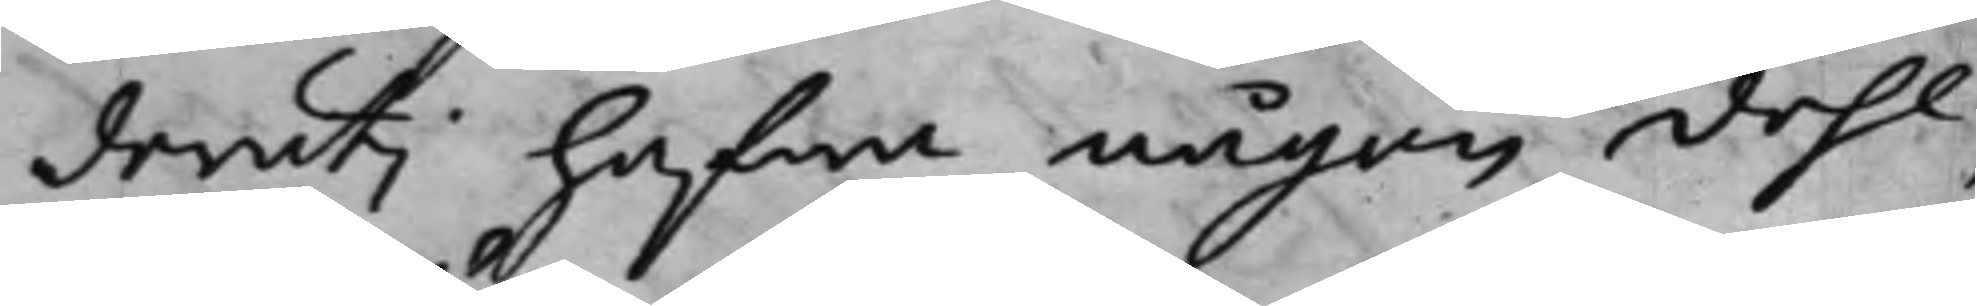deruti hafwa någon dehl,
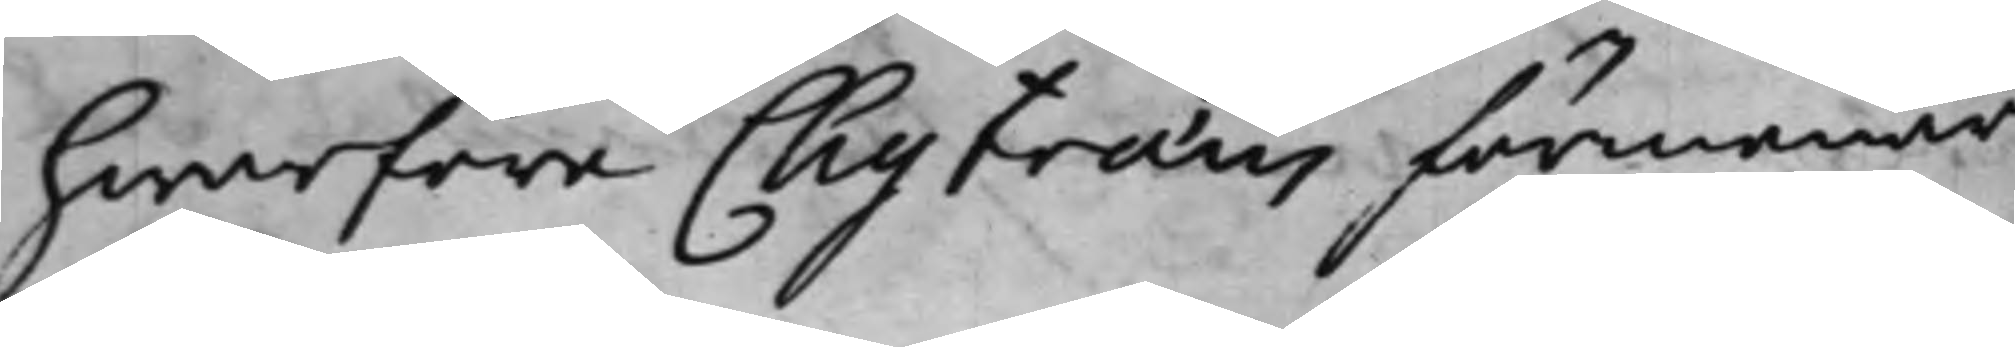hwarföre Chytræus förmenar
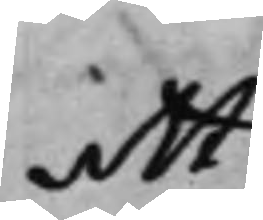att
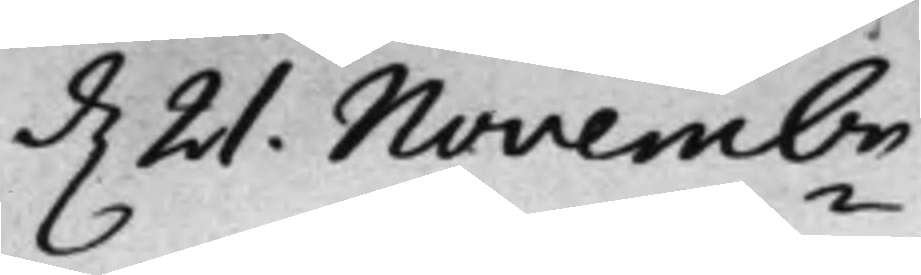d. 21. Novembr
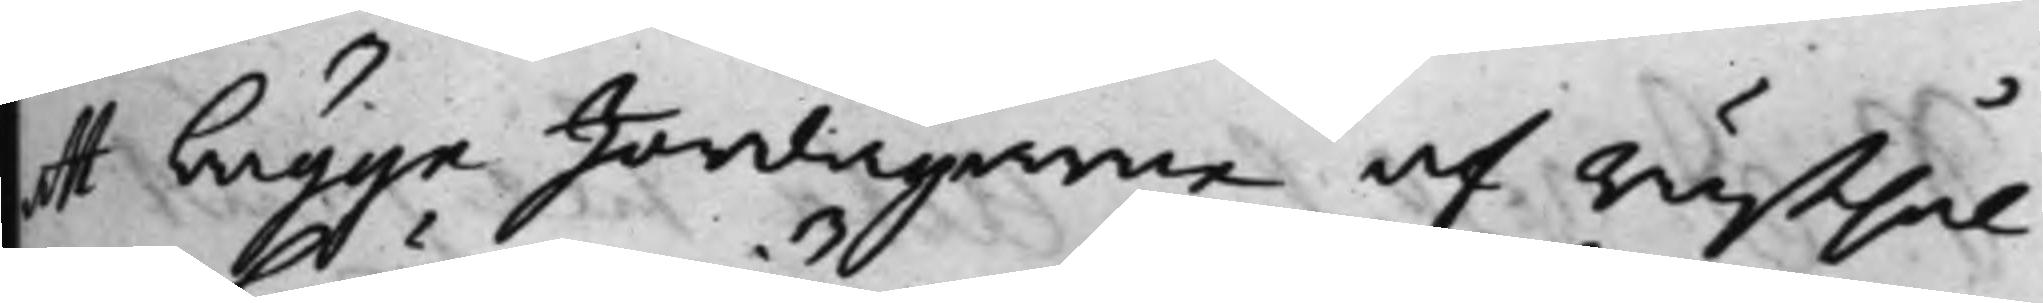at bägge Jordägarne af Rusthål¬
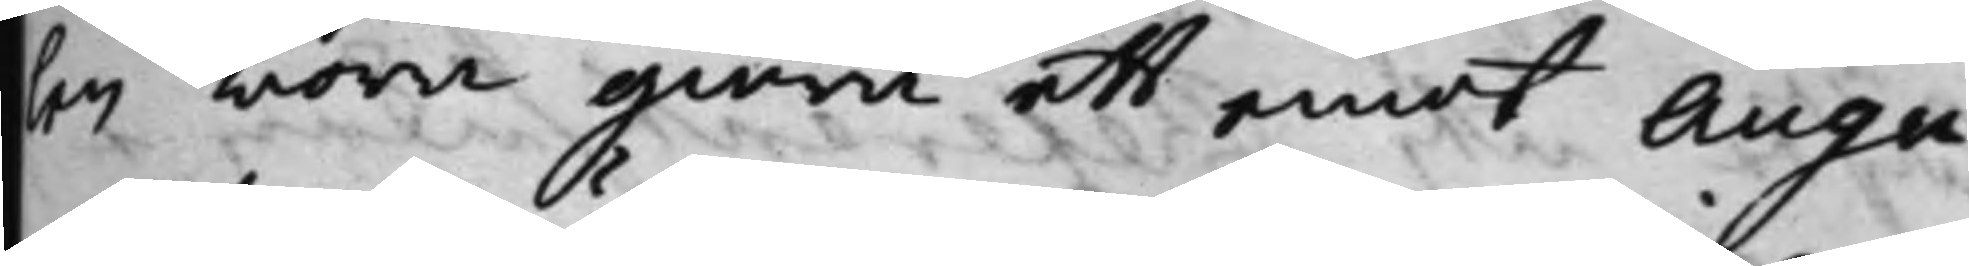len böra giöra ett emot Augu¬
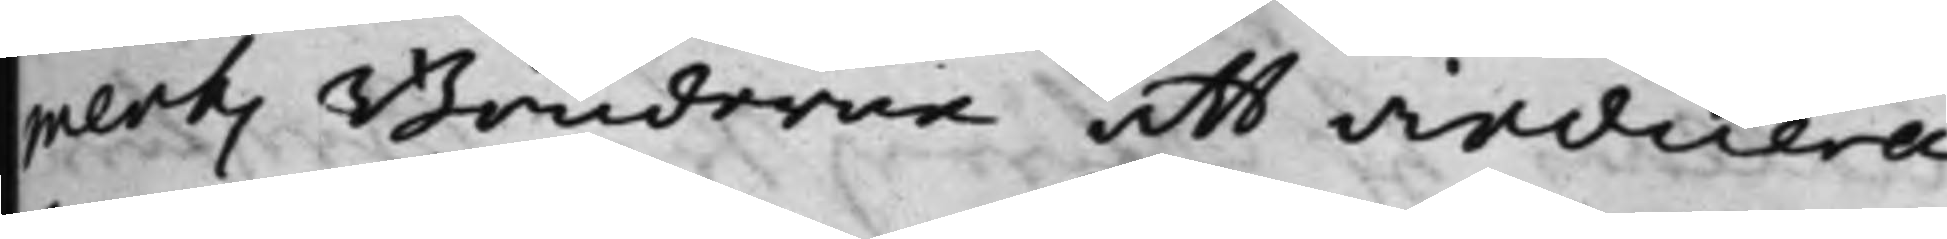ments Bönderne att indicera
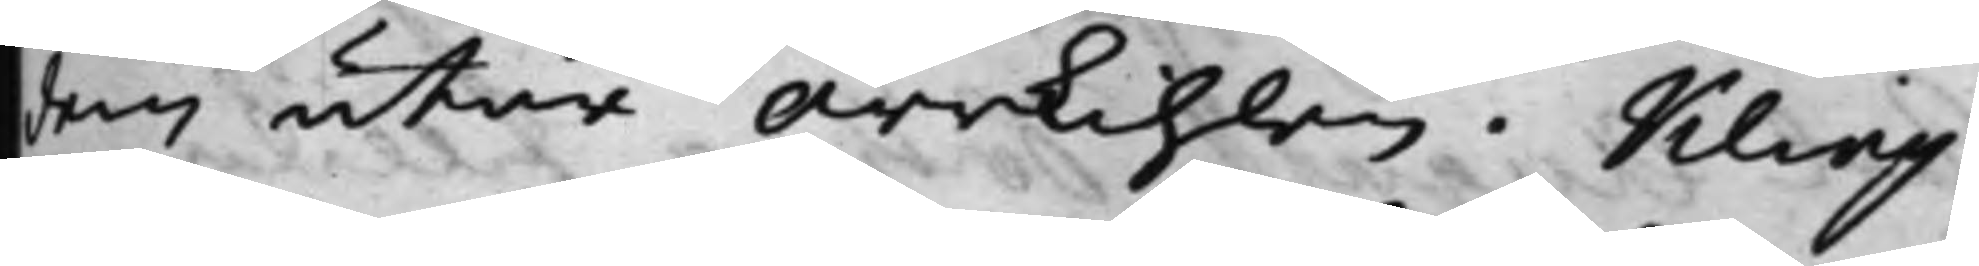dem utur Orrkihlen. Kling¬
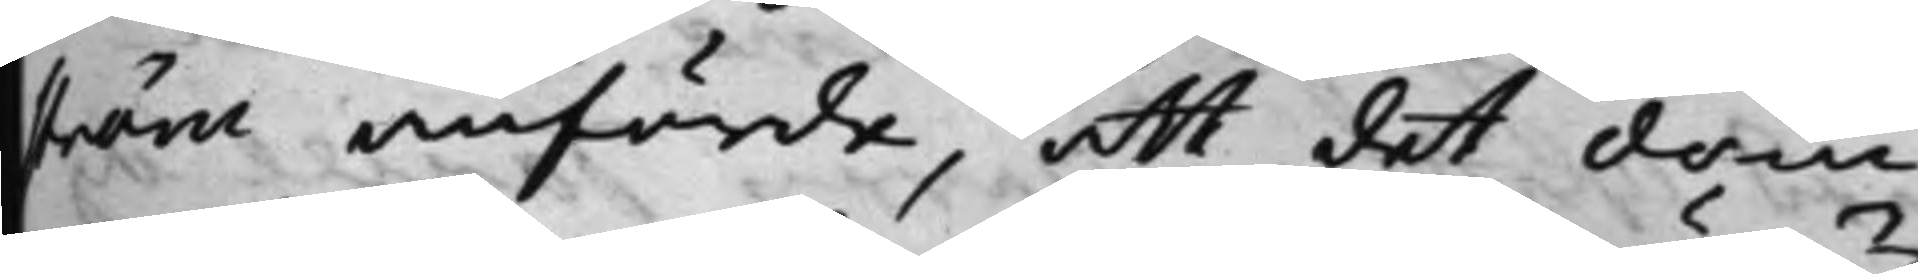ström anförde, att det docu¬
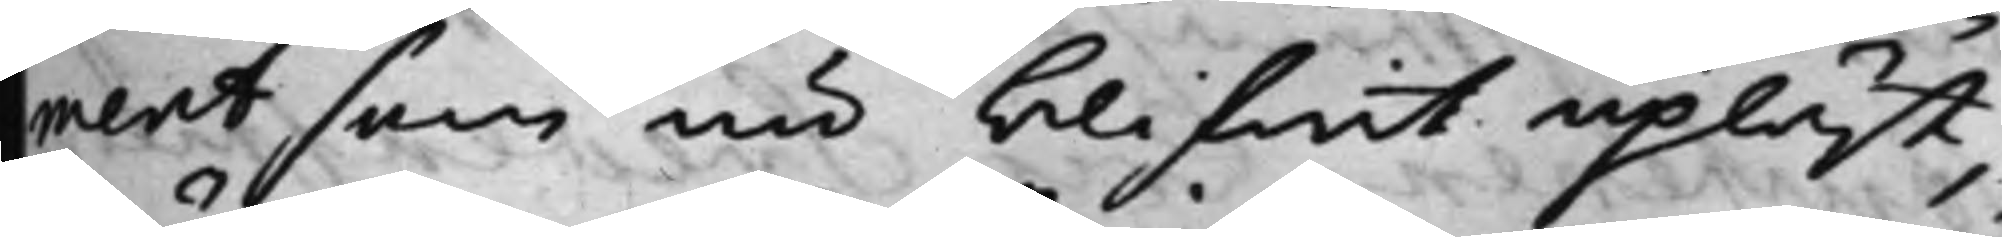ment som nu blifwit upläst,
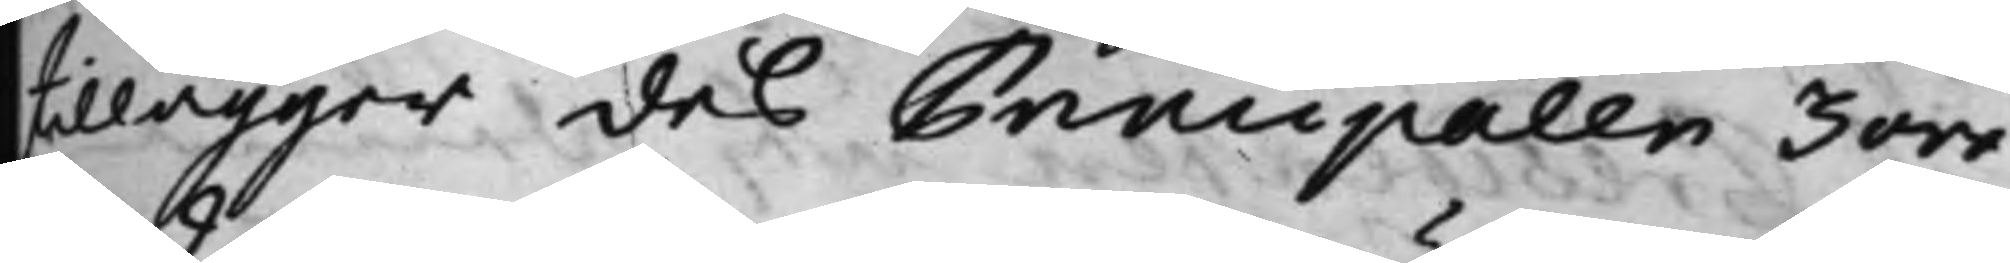tillägger des Principaler 3 öre
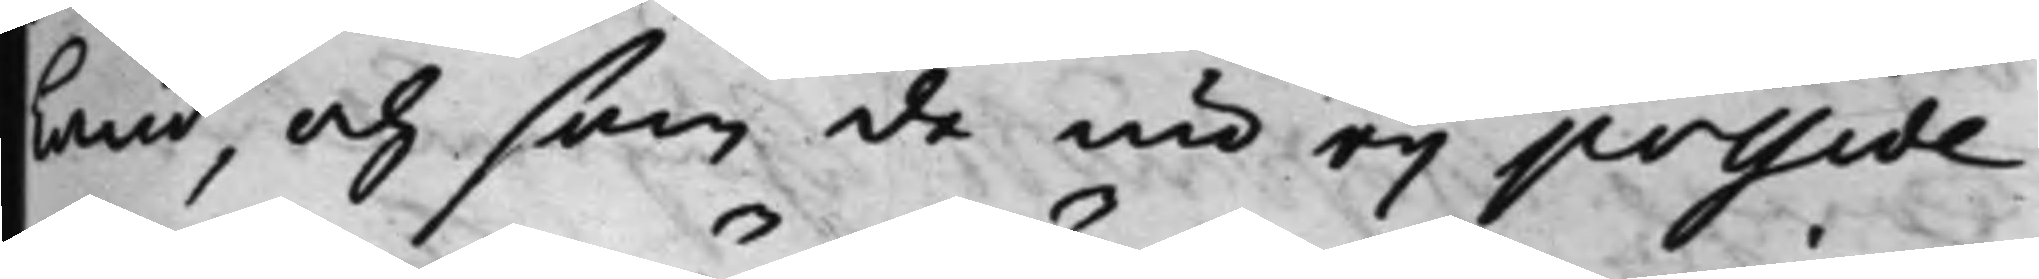Land, och som de nu eij posside¬
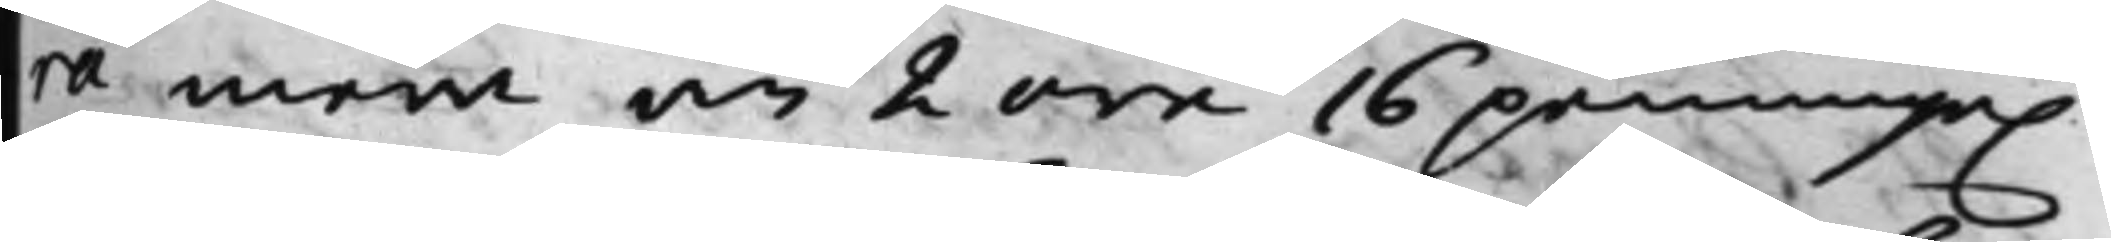ra mera än 2 öre 16 penninge.
